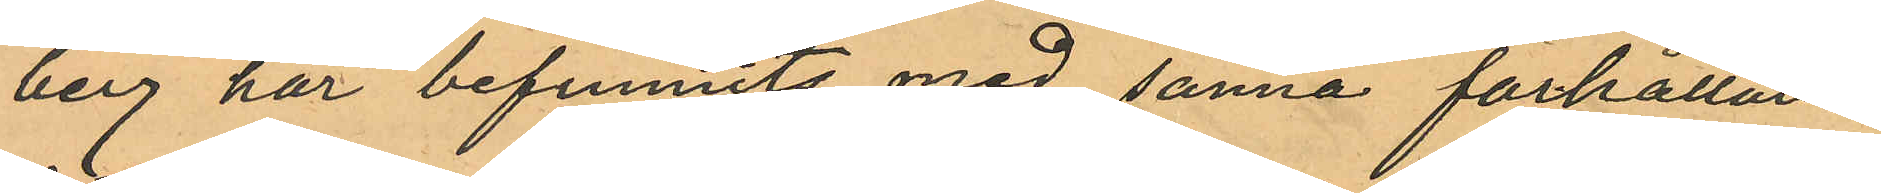berg har befunnits med sanna förhållan¬
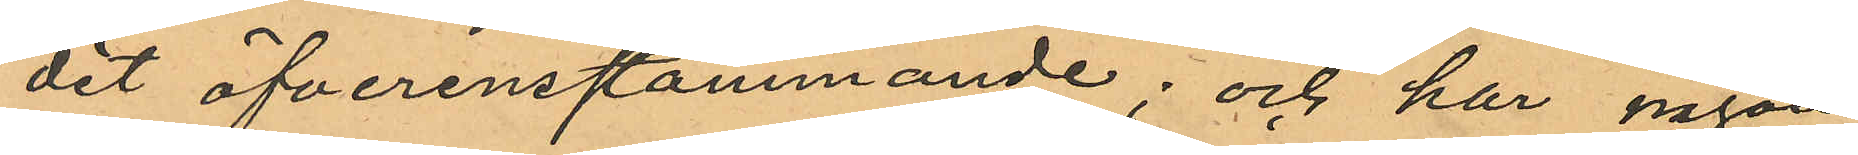det öfverensstämmande; och har någon
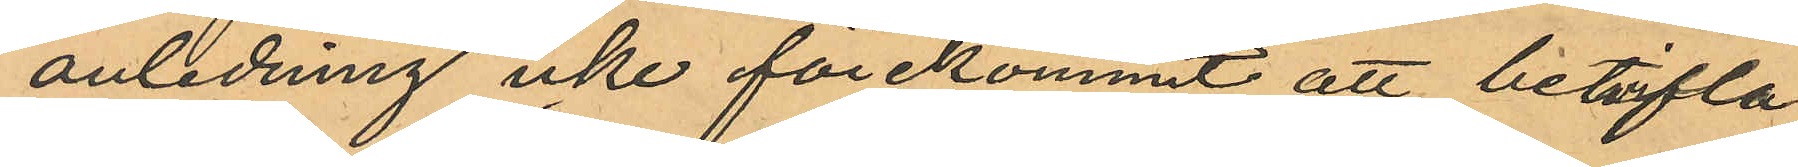anledning icke förekommit att betvifla
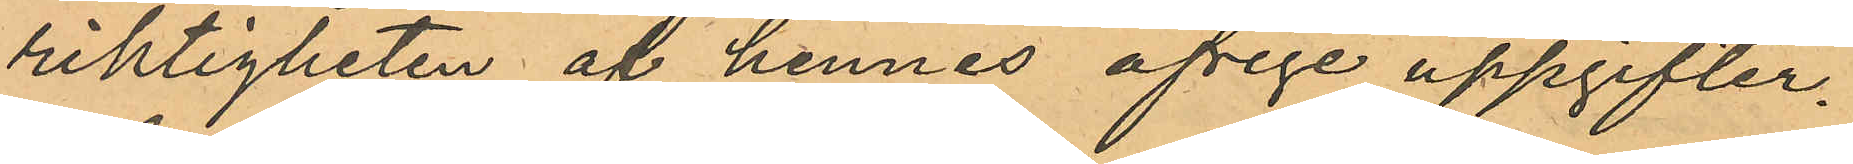riktigheten af hennes öfrige uppgifter.
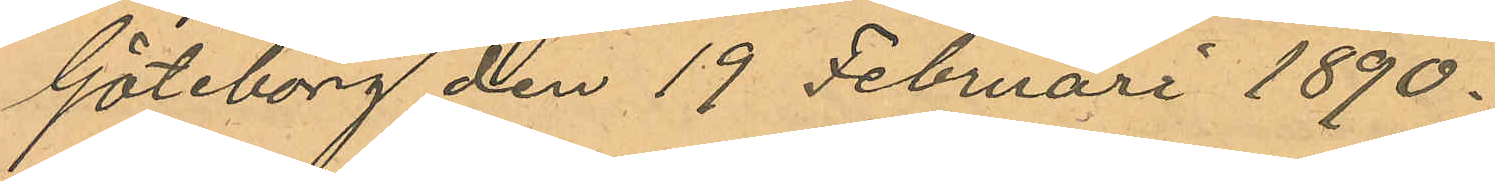Göteborg den 19 Februari 1890.
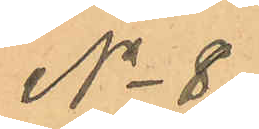No 8.
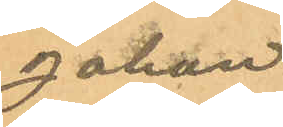Johan
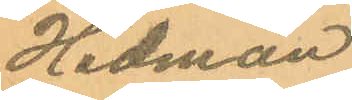Hedman.
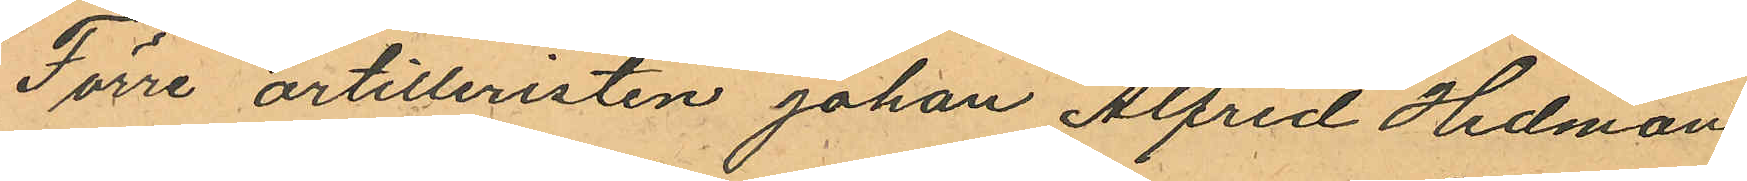Förre artilleristen Johan Alfred Hedman
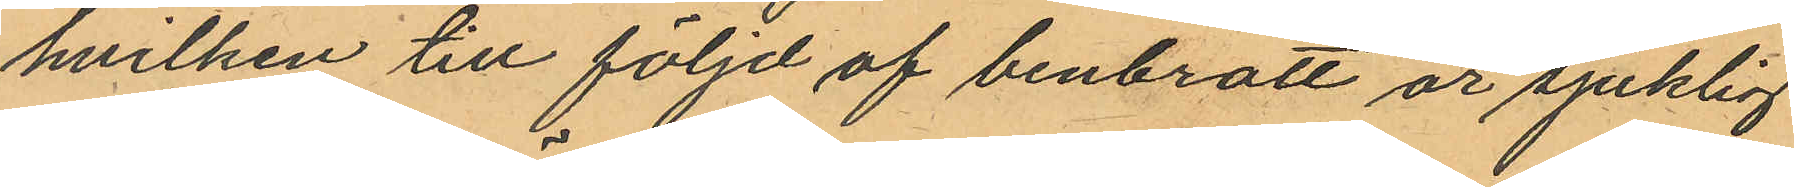hvilken till följd af benbrott är sjuklig
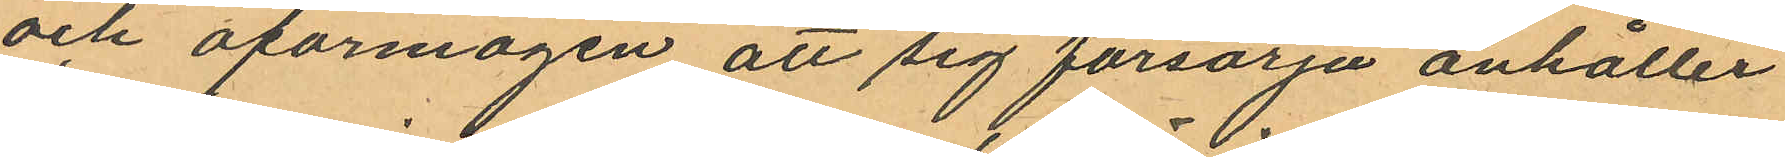och oförmögen att sig försörja anhåller
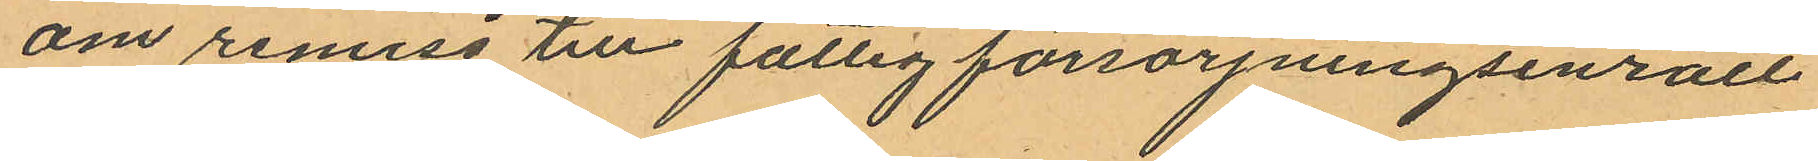om remiss till fattigförsörjningsinrätt
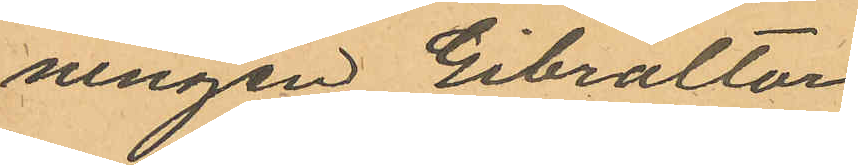ningen Gibraltar.
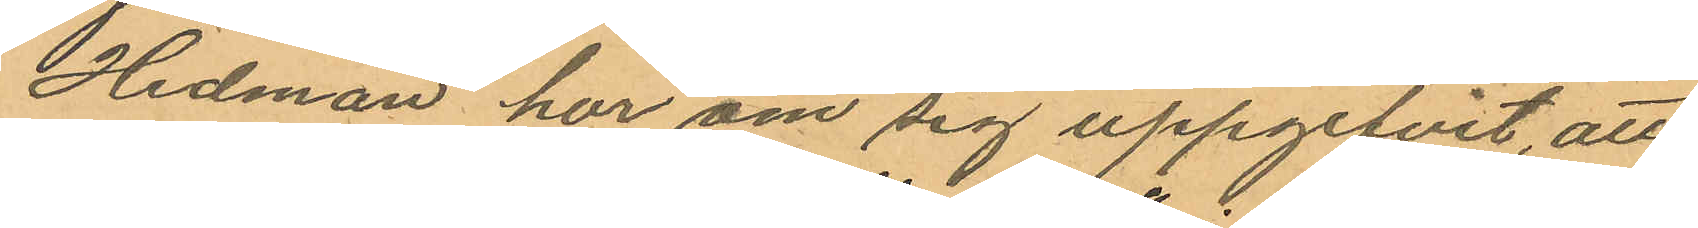Hedman har om sig uppgifvit, att
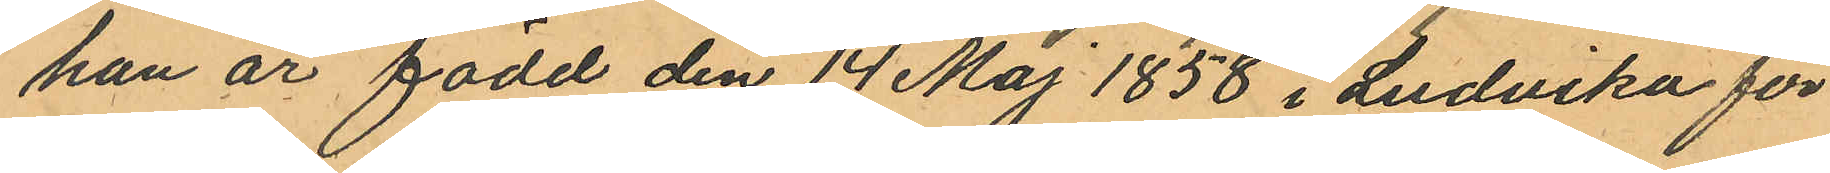han är född den 14 Maj 1858 i Ludvika för
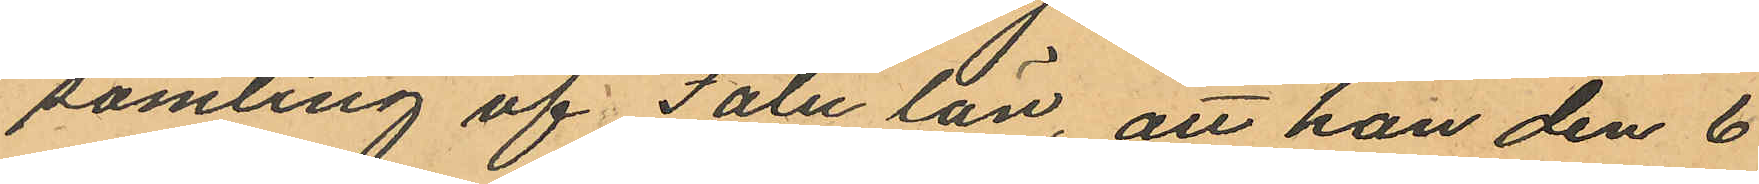samling af Falu län, att han den 6
